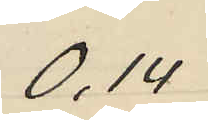0,14
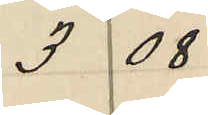3 08
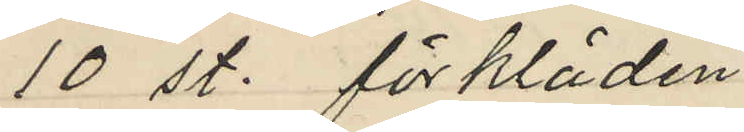10 st. förkläden
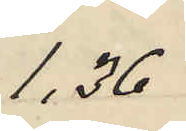1,36
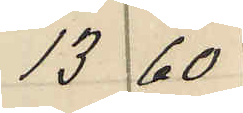13 60
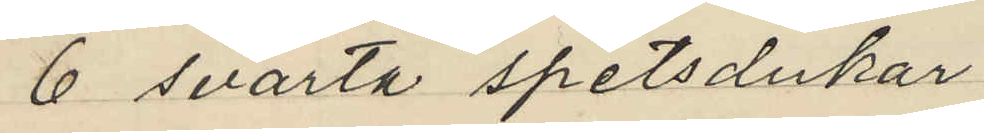6 svarta spetsdukar
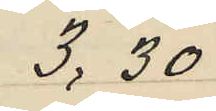3,30
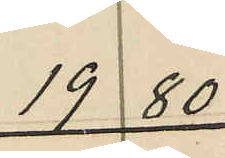19 80
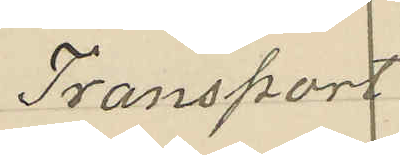Transport
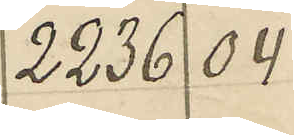2236 04
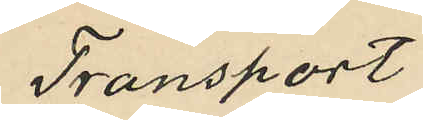Transport
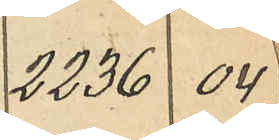2236 04
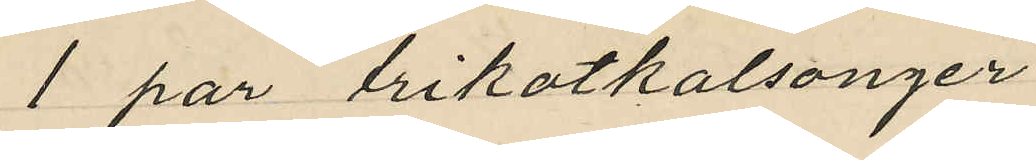1 par trikotkalsonger
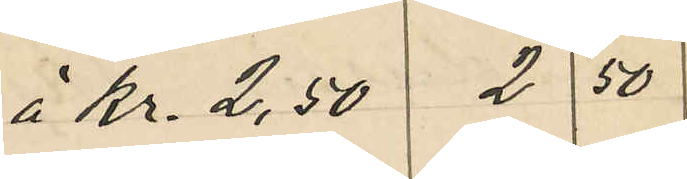å Kr. 2,50 2 50
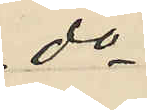do
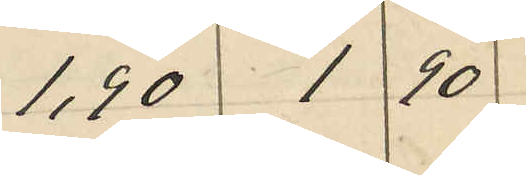1,90 1 90
